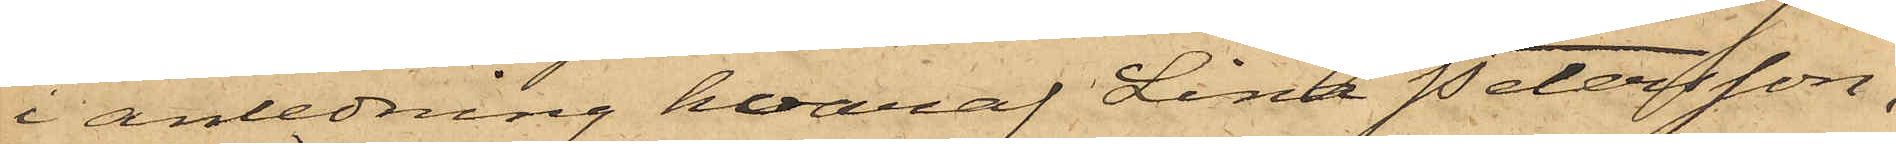i anledning hvaraf Lina Petersson,
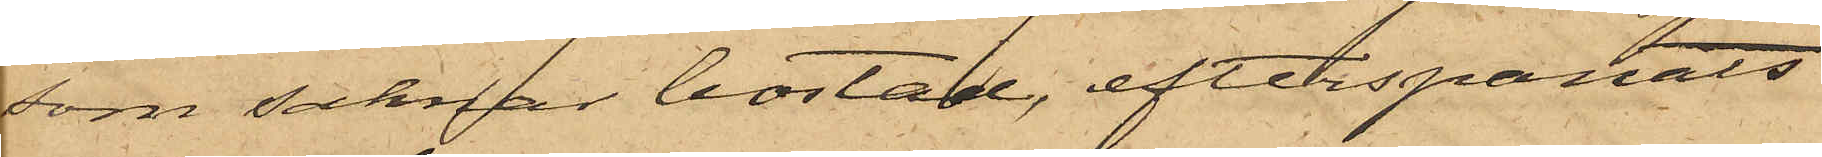som saknar bostad, efterspanats
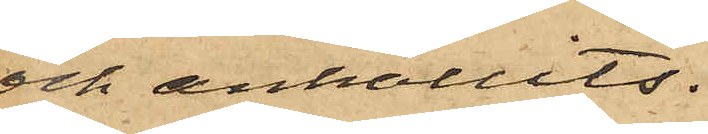och anhållits.
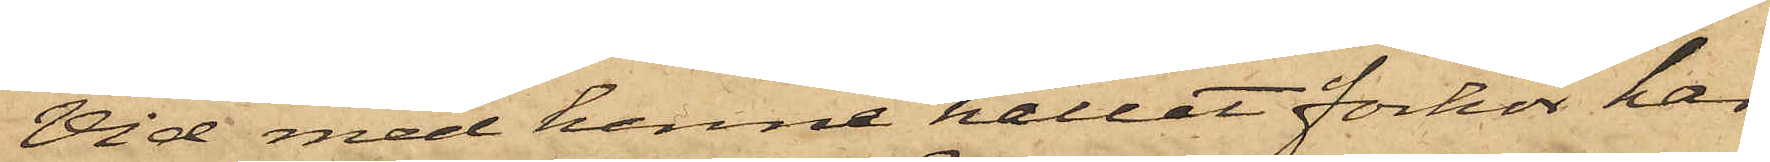Vid med henne hållet förhör har
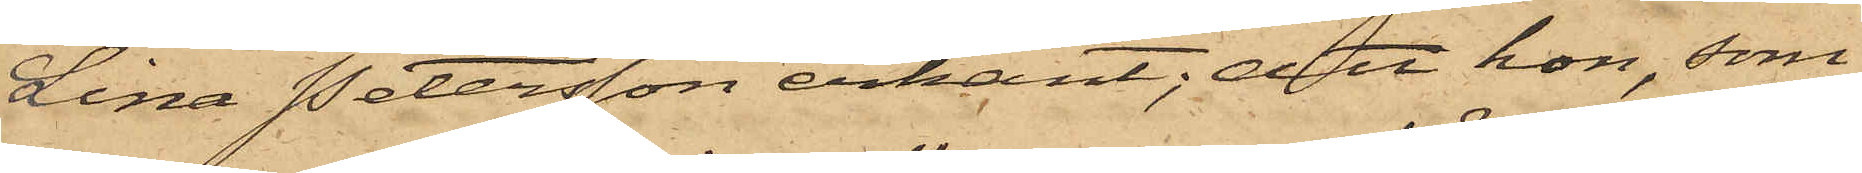Lina Petersson erkänt; att hon, som
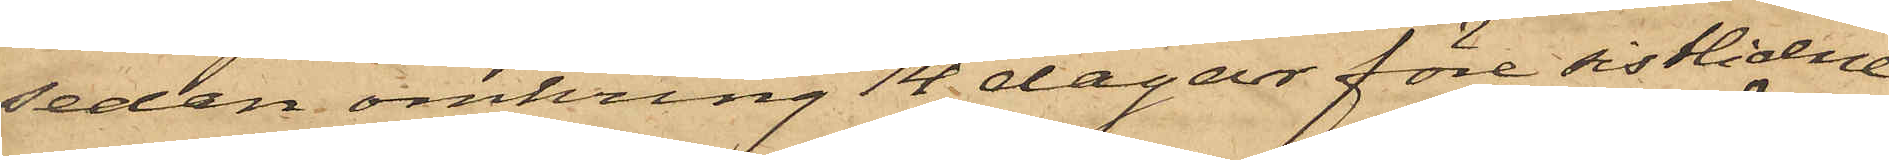sedan omkring 14 dagar före sistlidne
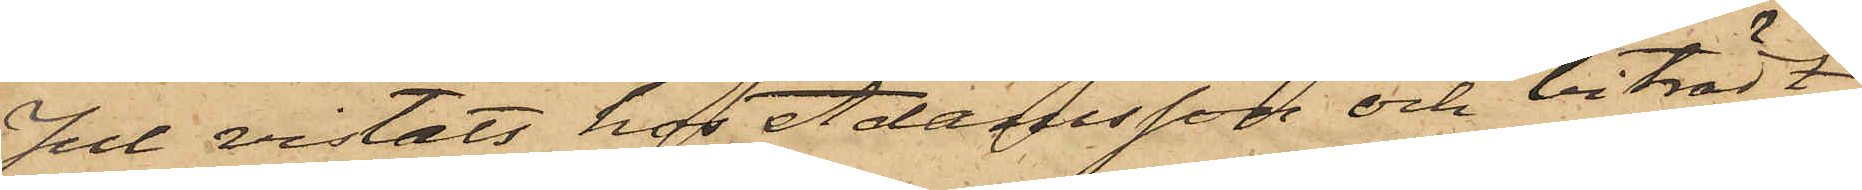Jul vistats hos Adamsson och biträdt
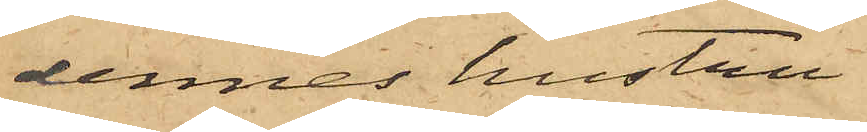dennes hustru
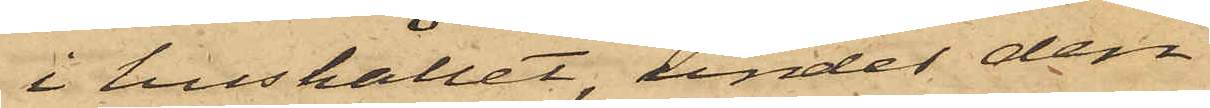i hushållet, under den¬
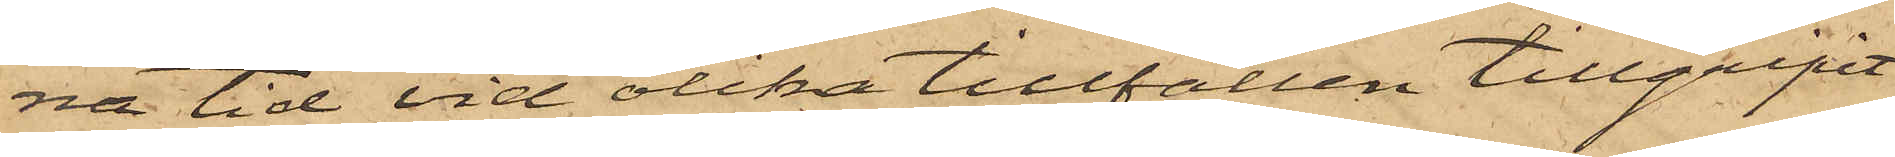na tid vid olika tillfällen tillgripit
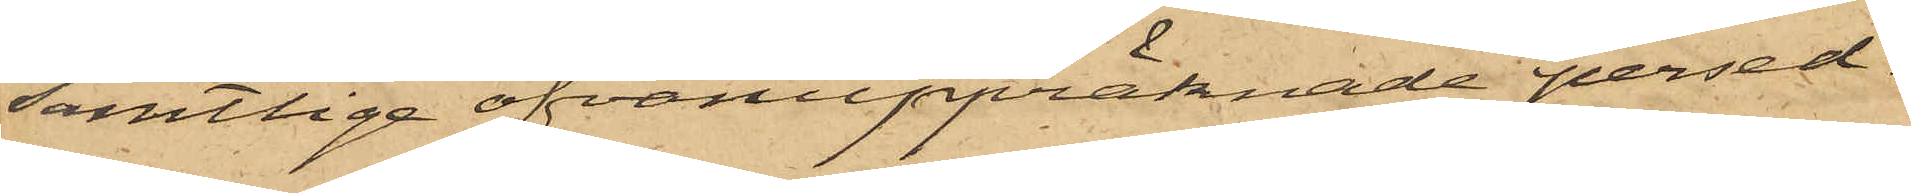samtlige ofvanuppräknade persed¬
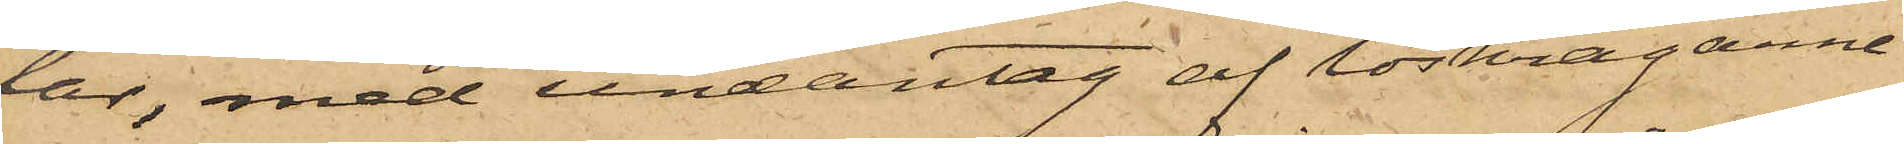lar, med undantag af löskragarne
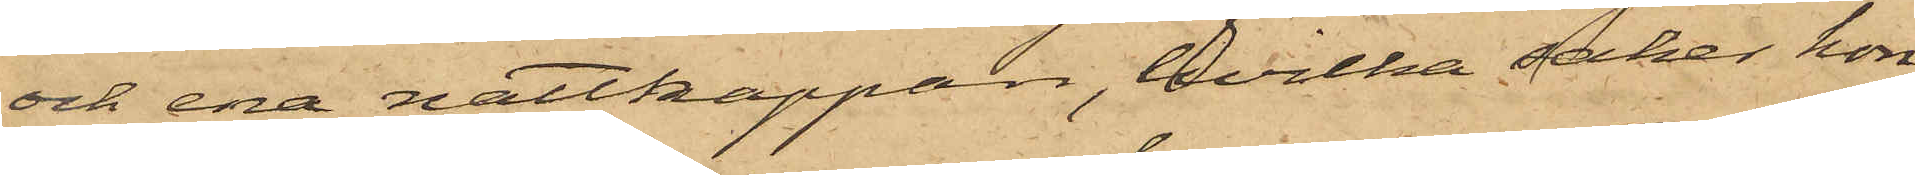och ena nattkappan, hvilka saker hon
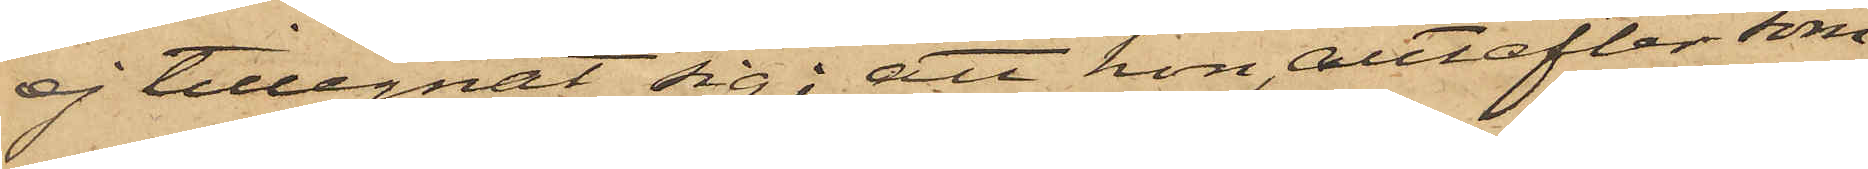ej tillegnat sig; att hon, allteftersom
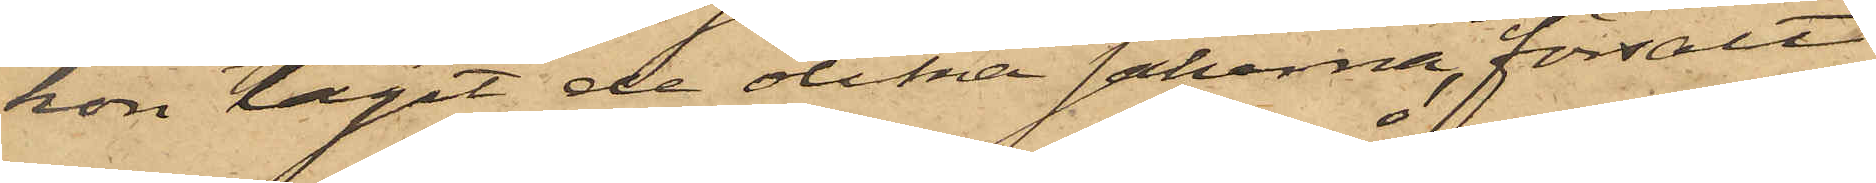hon tagit de olika sakerna, försålt
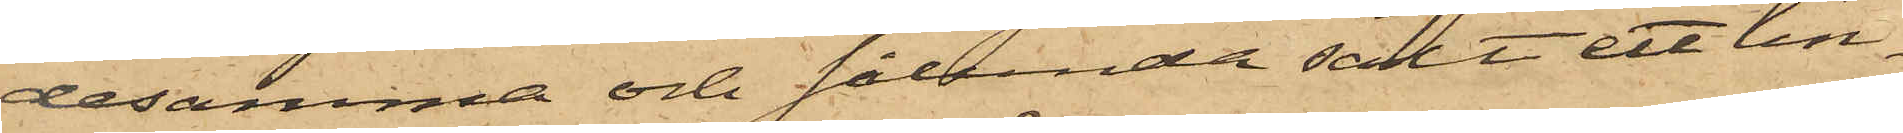desamma och sålunda sålt ett lin¬
